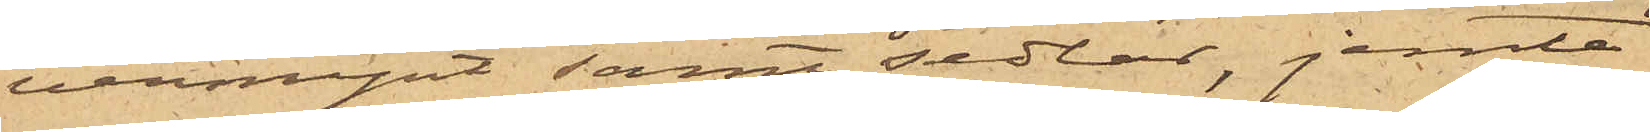vermynt samt sedlar, jemte
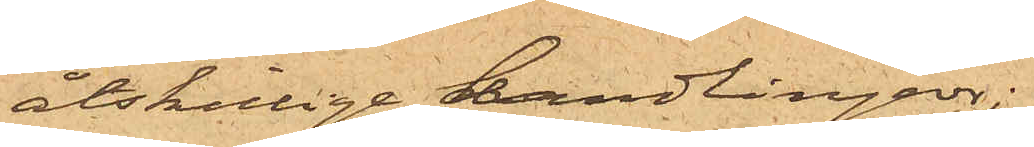åtskillige handlingar;
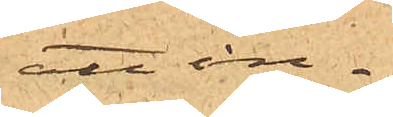att in¬
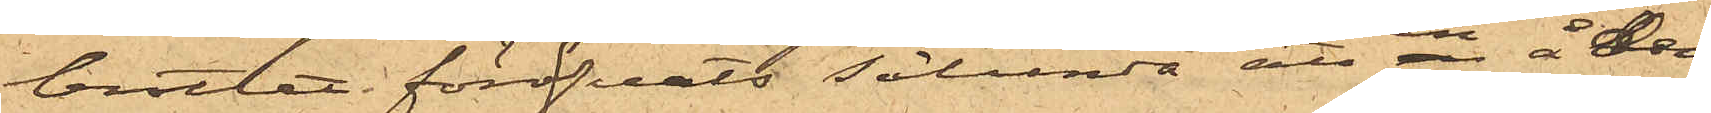brottet föröfvats sålunda att en å den
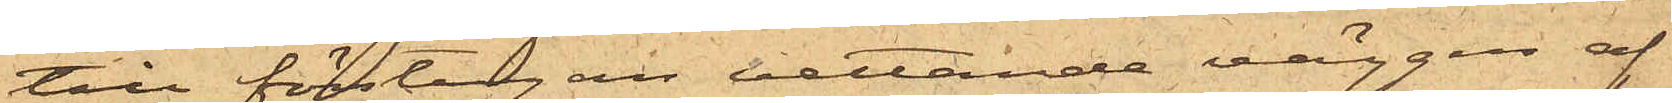till förstugan vettande väggen af
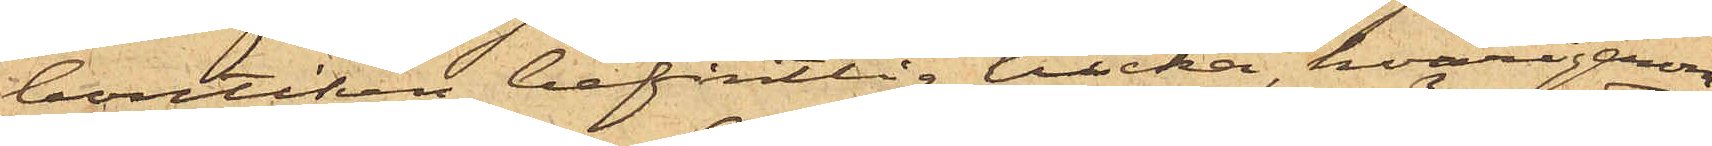boutiken befintlig lucka, hvarigenom
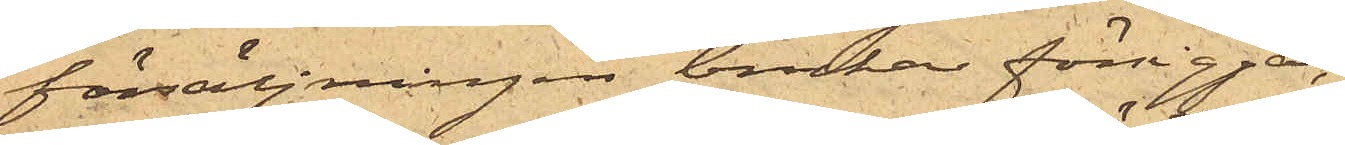försäljningen brukar försiggå,
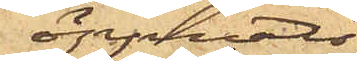öppnats
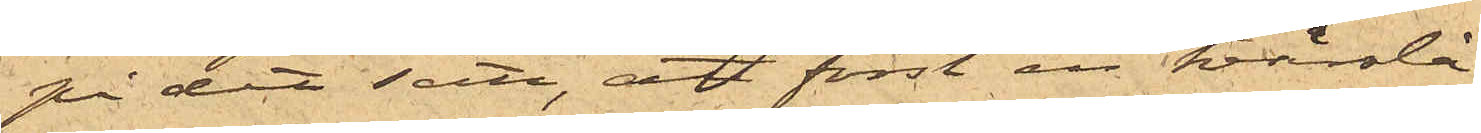på det sätt, att först en tvärslå
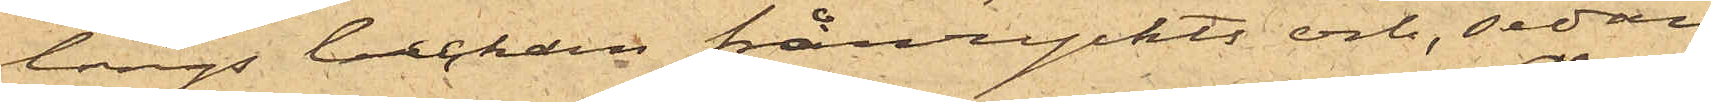längs luckan frånryckts och, sedan
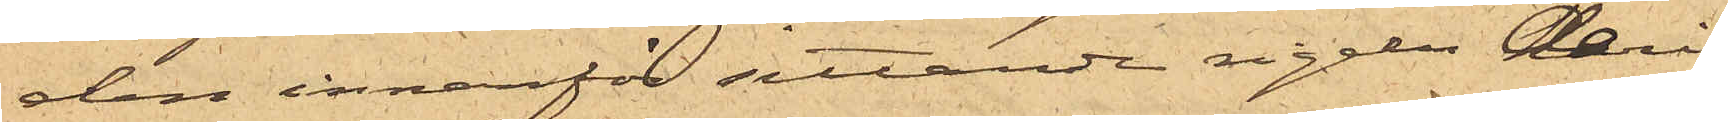den innanför sittande regeln deri¬
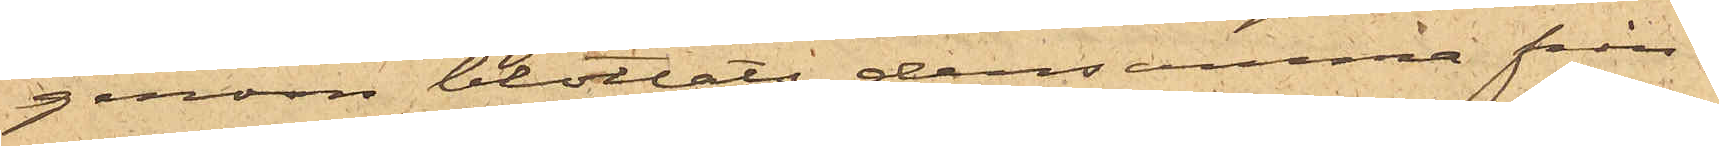genom blottats, densamma från¬
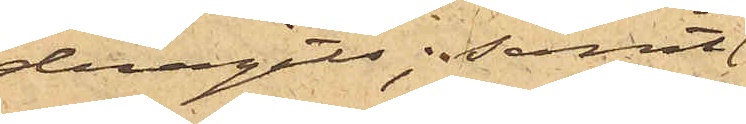dragits; samt
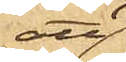att
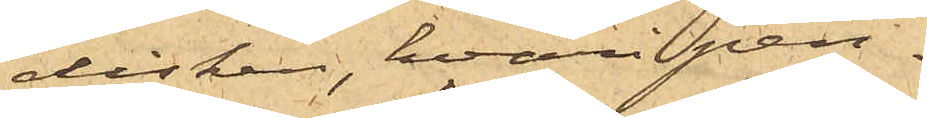disken, hvari pen¬
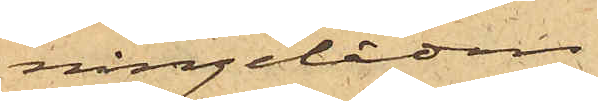ningelådan
